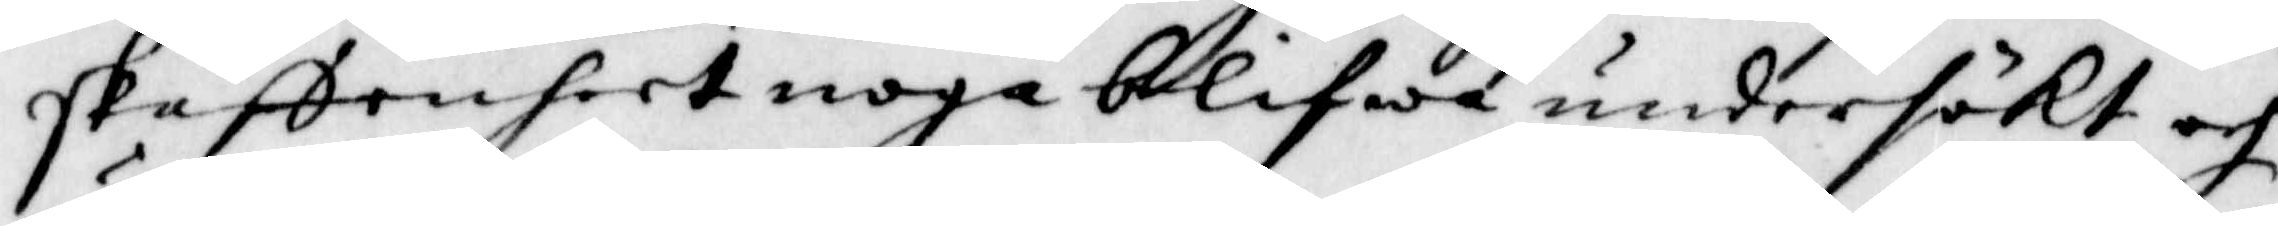skaffenheet noga blifwa undersökt och
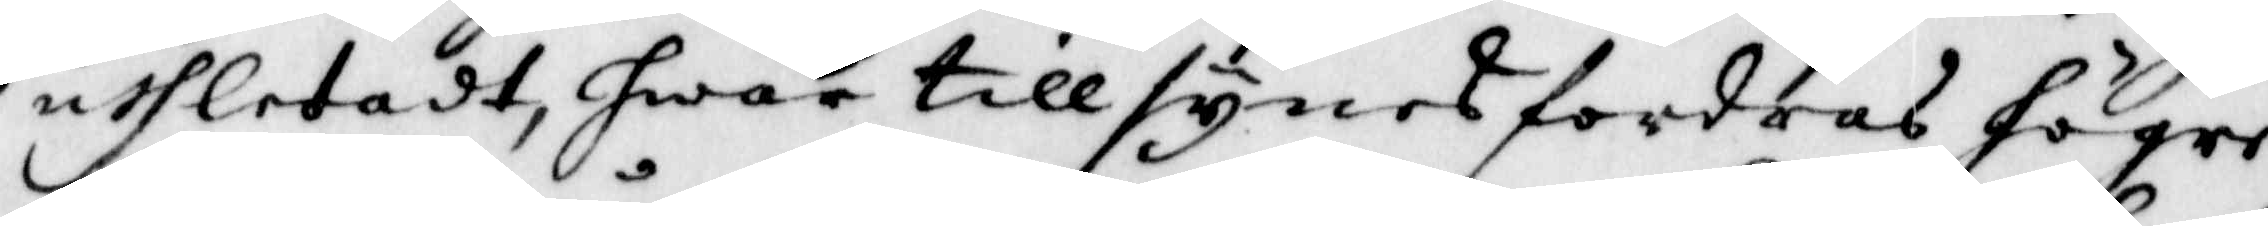uthletadt, hwar till synes fordras högre
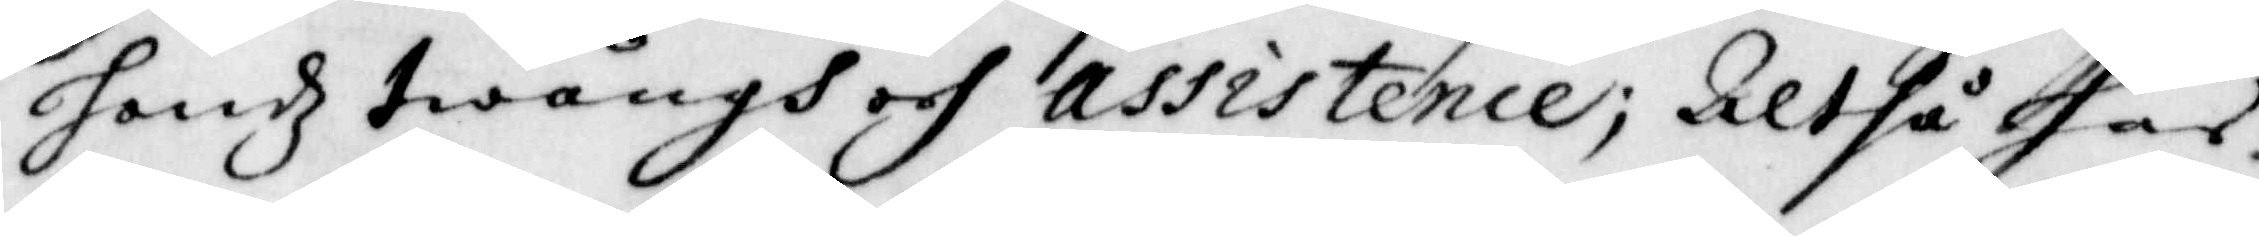handz twångh och Assistence; Altså har
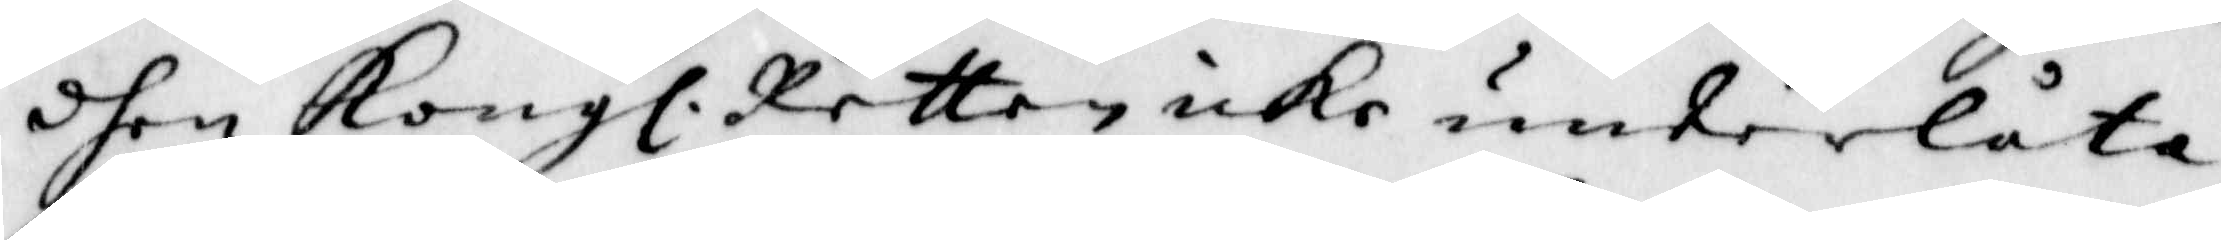dhen Kongl. Retten icke underlåta
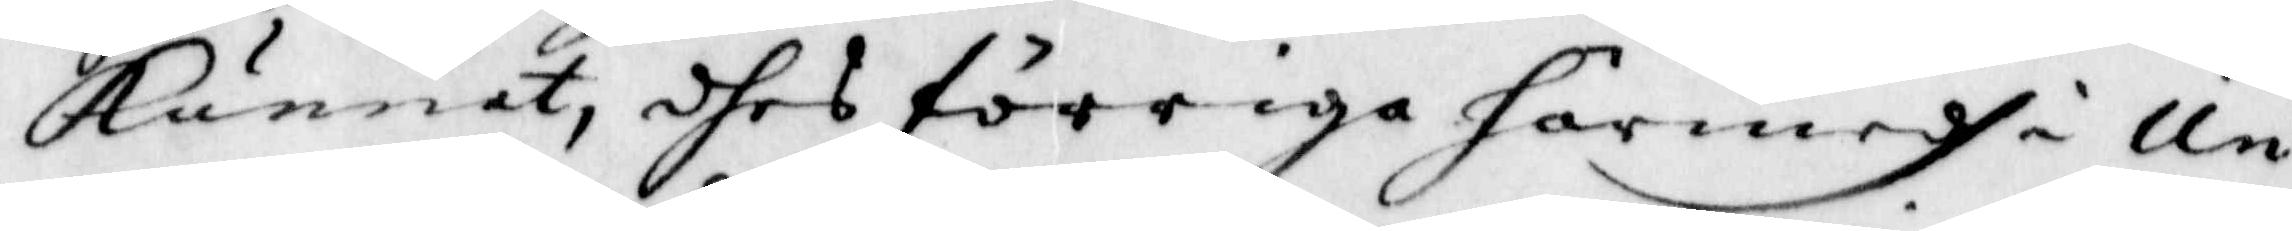Kunnat, dhes förriga härmedh i Un¬
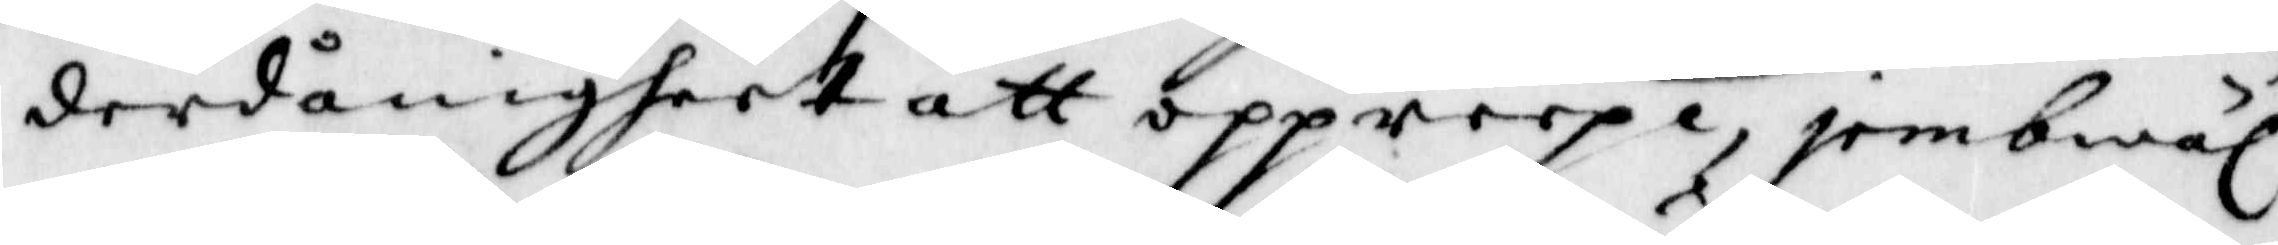derdånigheet att oppreepa, jembwäl
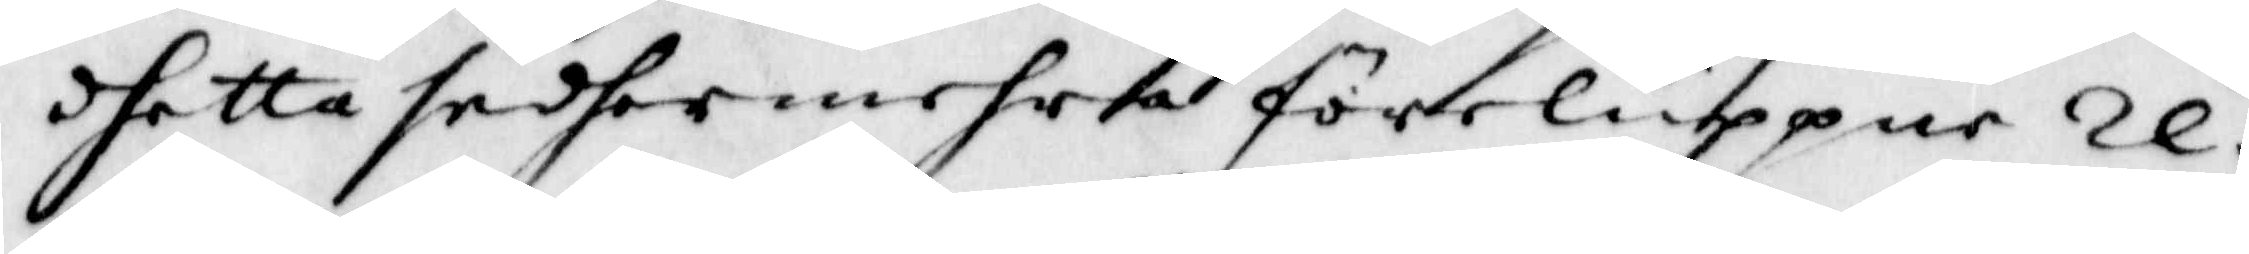dhetta sedhermehra förelupper Re¬
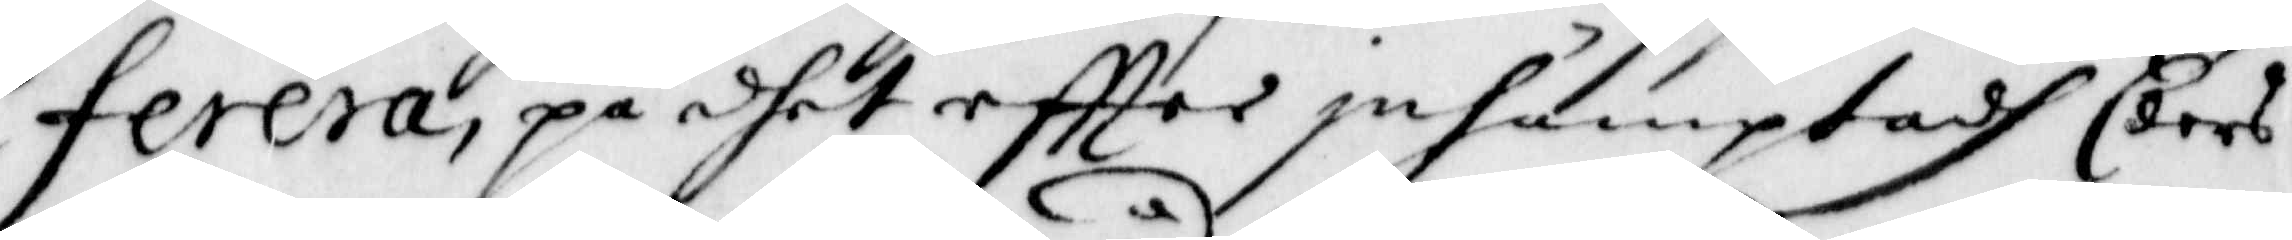ferera, på dhet effter inhämptadh Eders
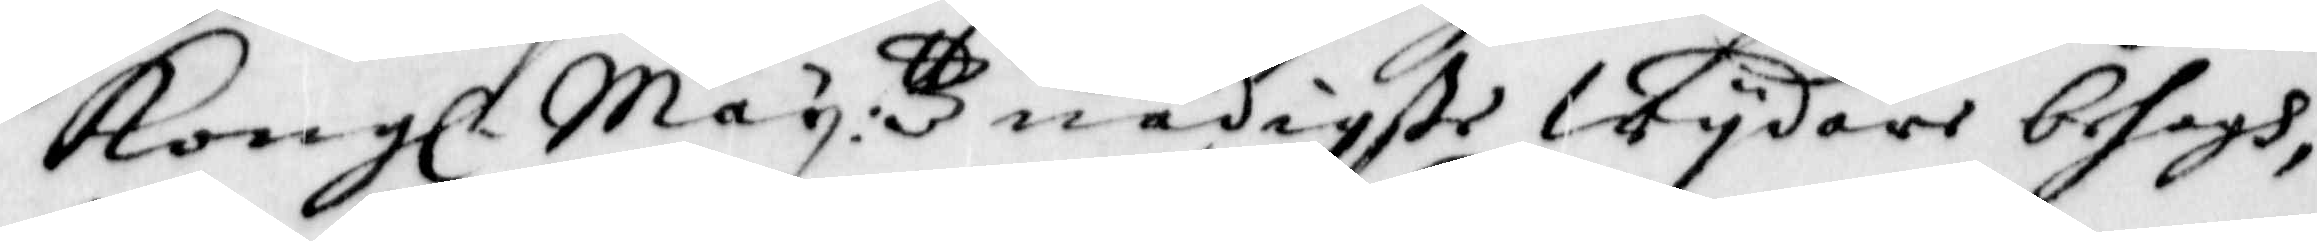Kong. Maij:ttz nådigste Wijdare behagh,
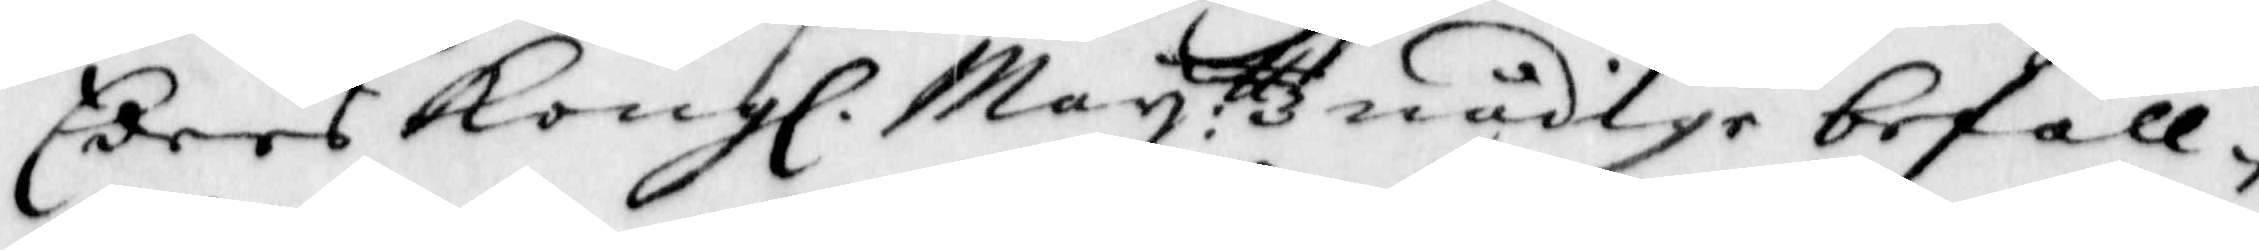Eders Kong. Maij:ttz nådige befall¬
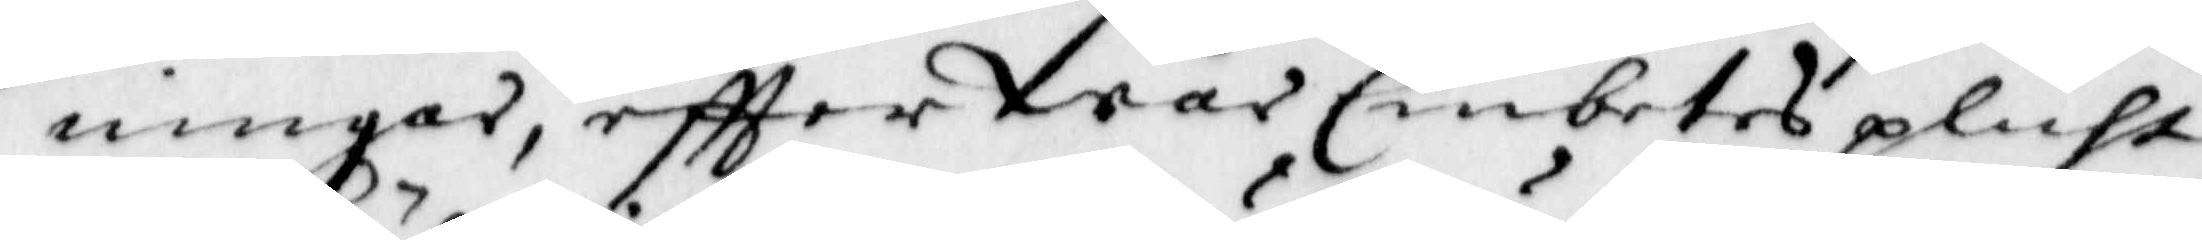ningar, effter Wår Embetes plicht
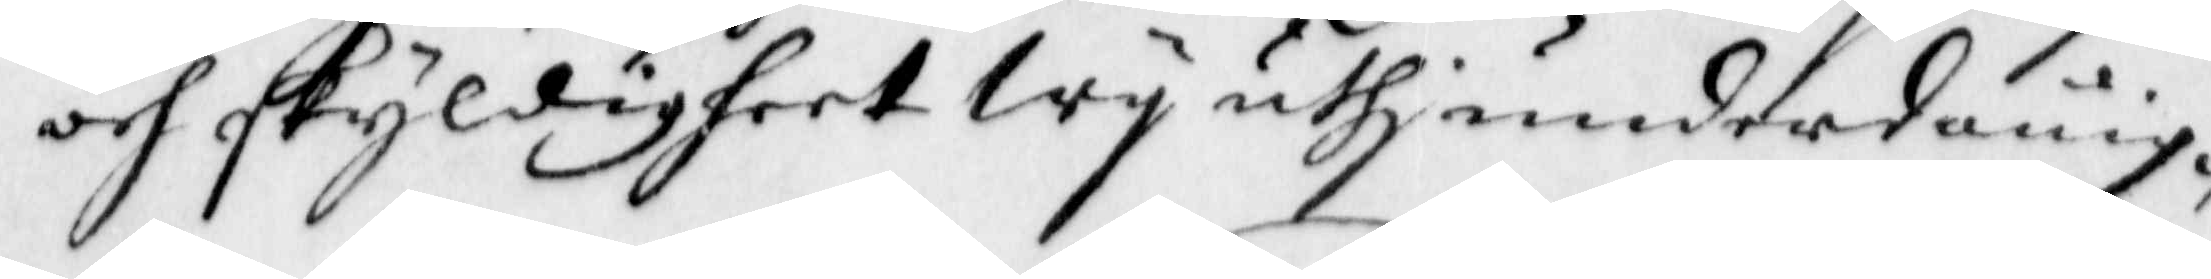och skyldigheet Wij uthj underdånig¬
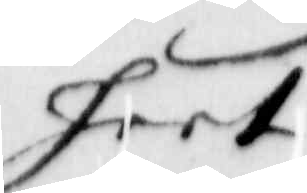heet
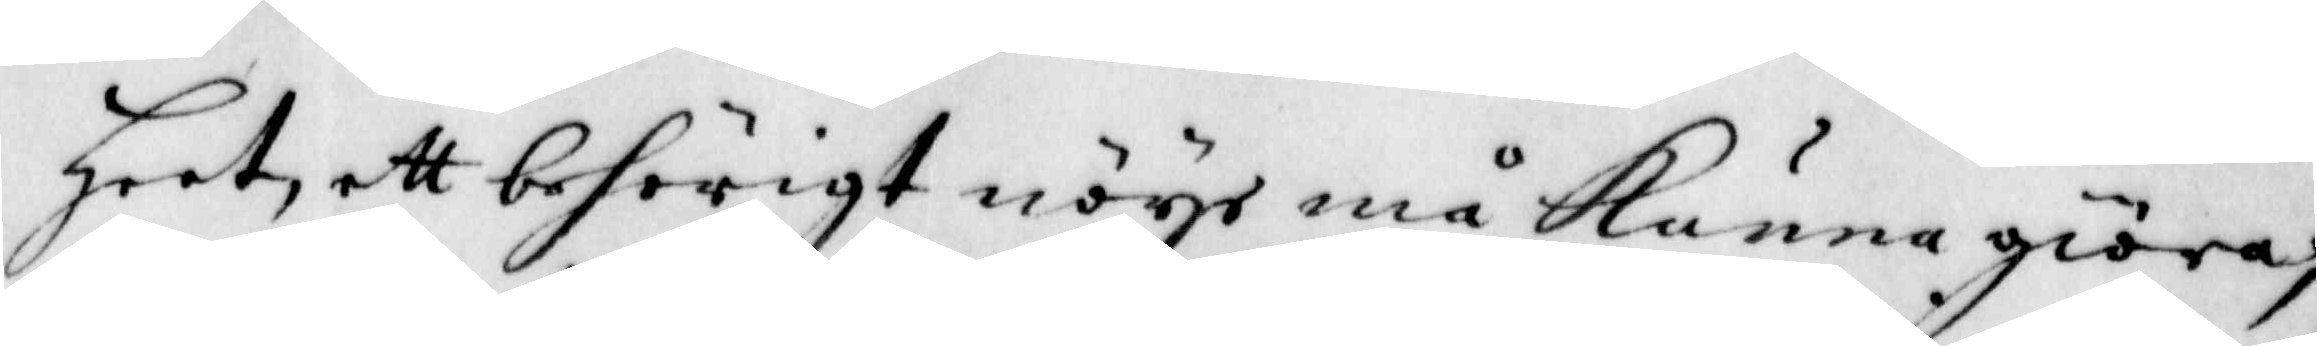heet, ett behörigt nöye må Kunna giöra;
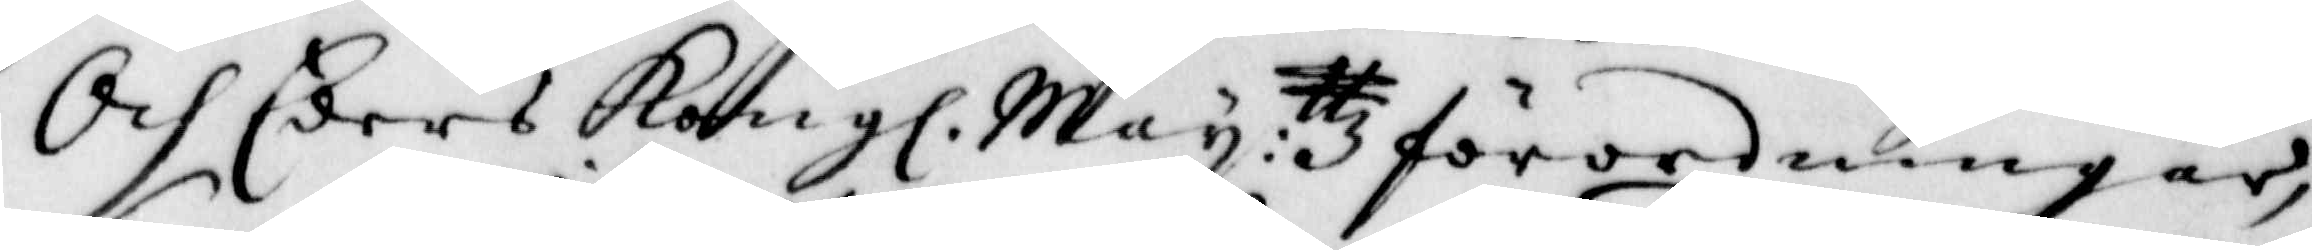Och Eders Kong. Maij:ttz förordningar,
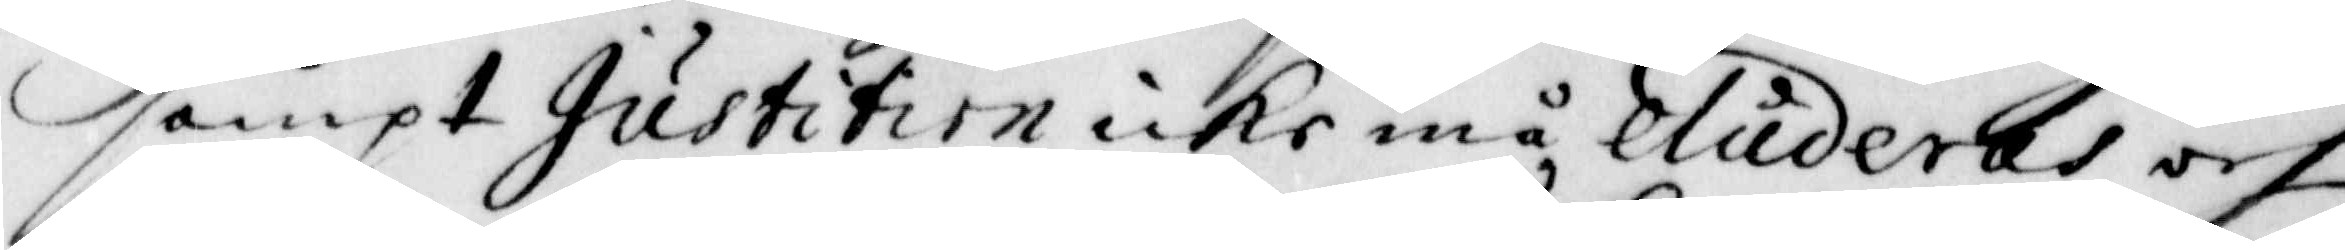sampt Justitien icke må eluderas och
